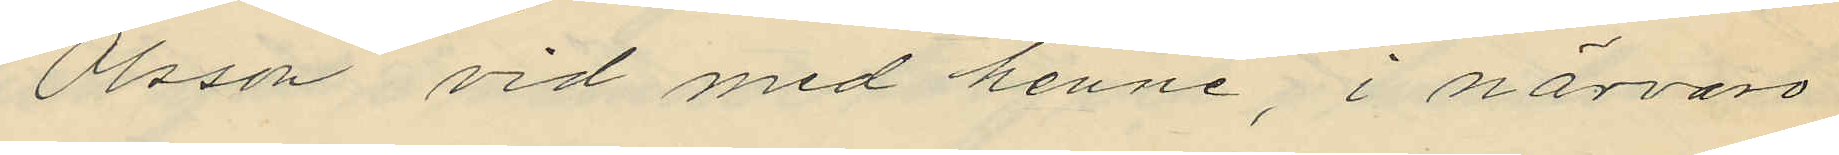Olsson vid med henne, i närvaro
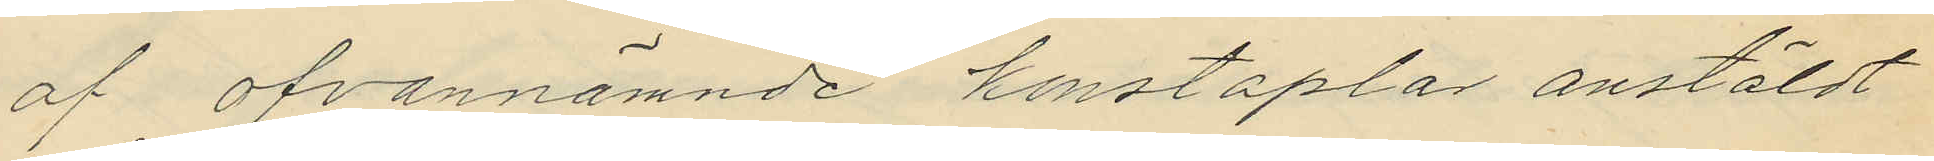af ofvannämnde konstaplar anstäldt
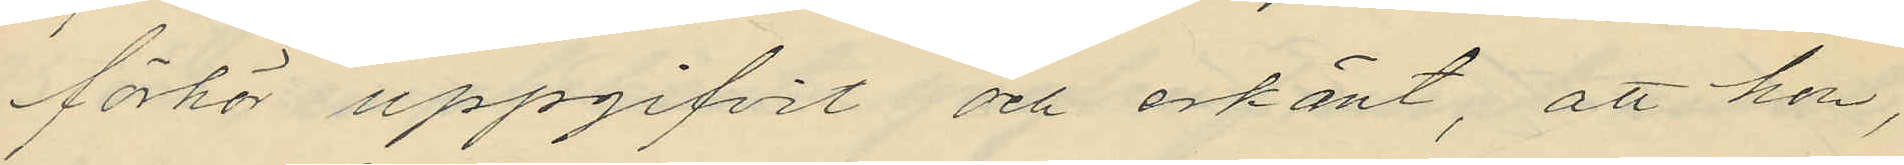förhör uppgifvit och erkänt, att hon,
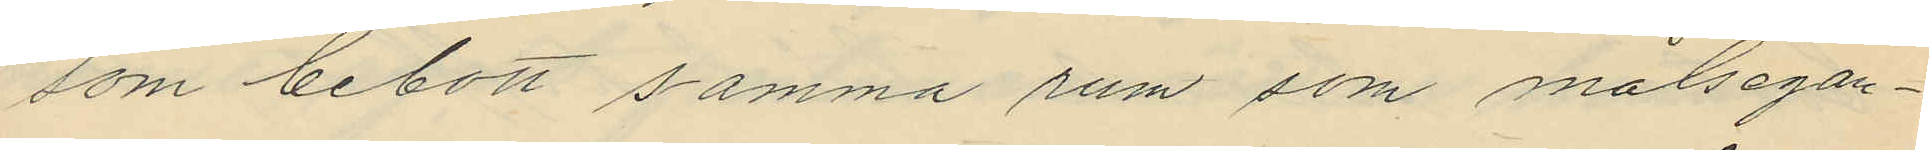som bebott samma rum som målsegan¬
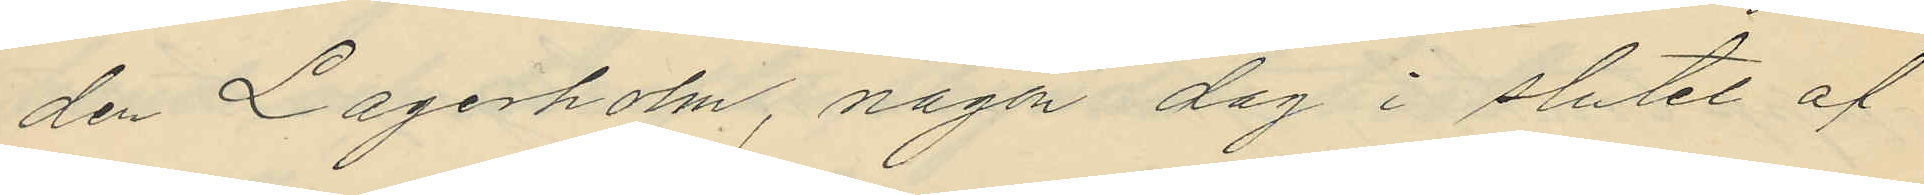den Lagerholm, någon dag i slutet af
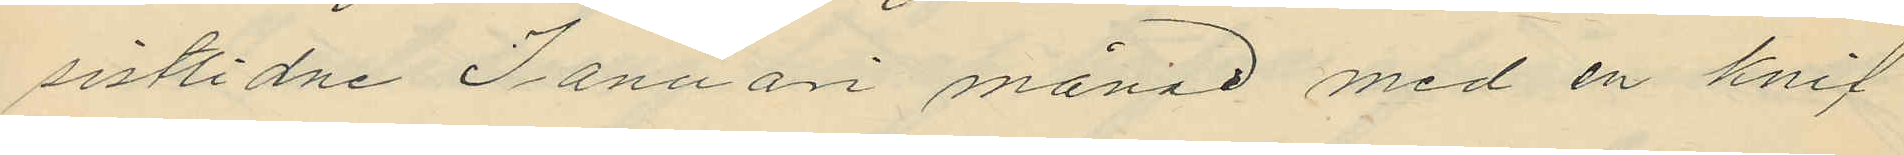sistlidne Januari månad med en knif
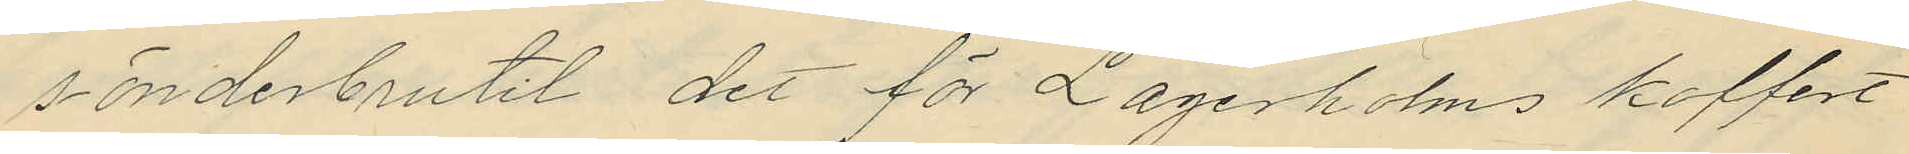sönderbrutit det för Lagerholms koffert
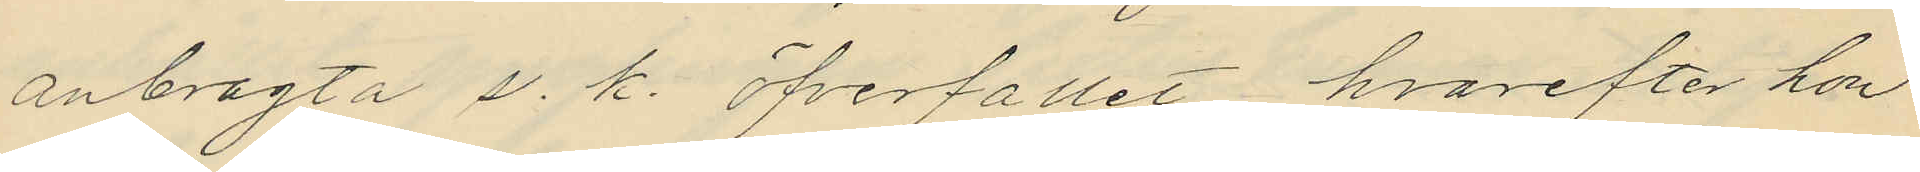anbragta s. k. öfverfallet, hvarefter hon
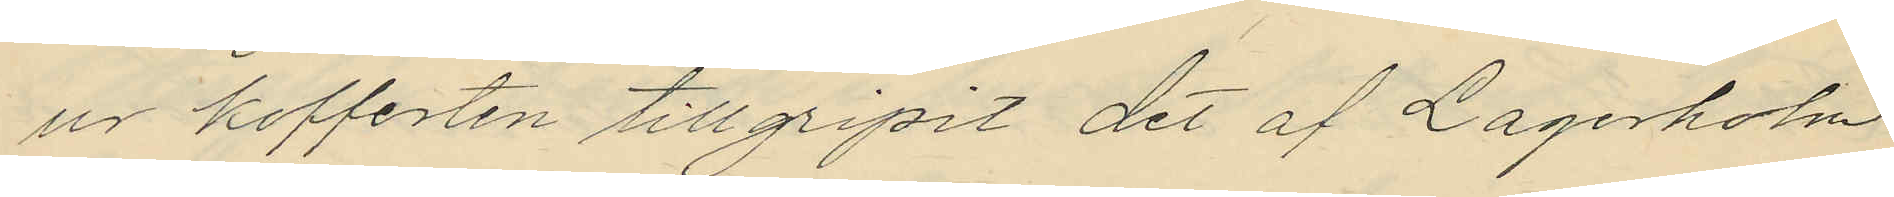ur kofferten tillgripit det af Lagerholm
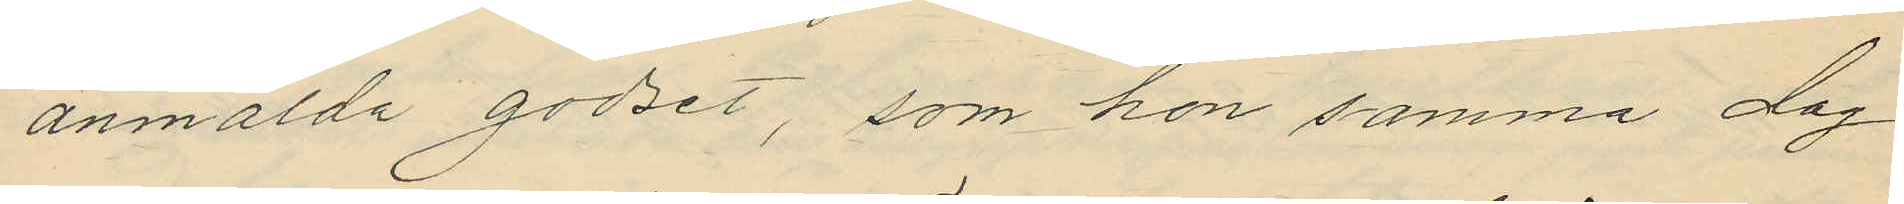anmälda godset, som hon samma dag
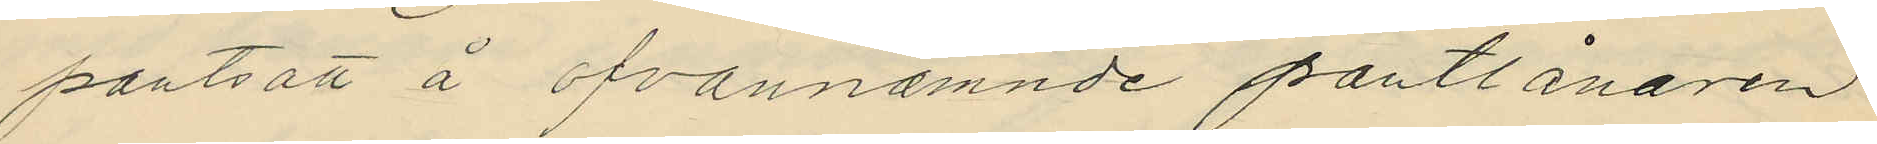pantsatt å ofvannämnde pantlånaren
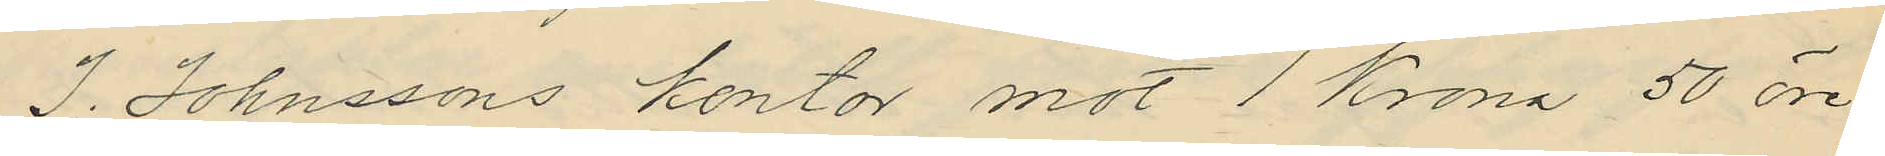J. Johnssons kontor mot 1 Krona 50 öre,
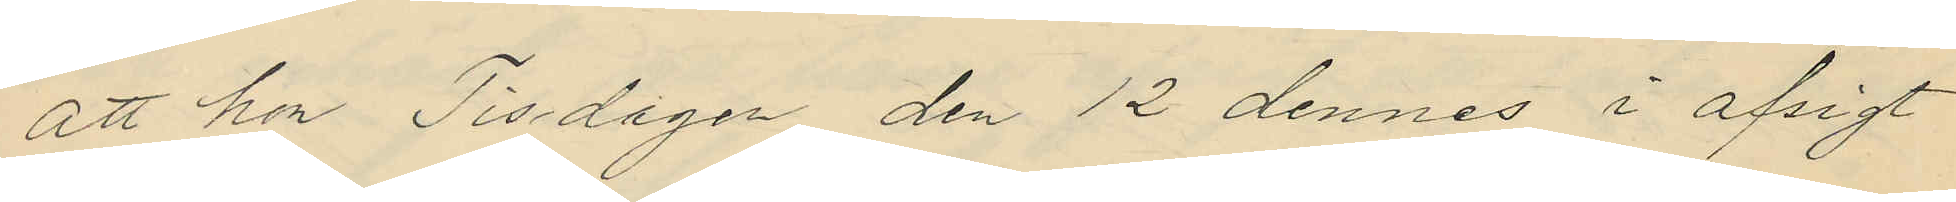att hon Tisdagen den 12 dennes i afsigt
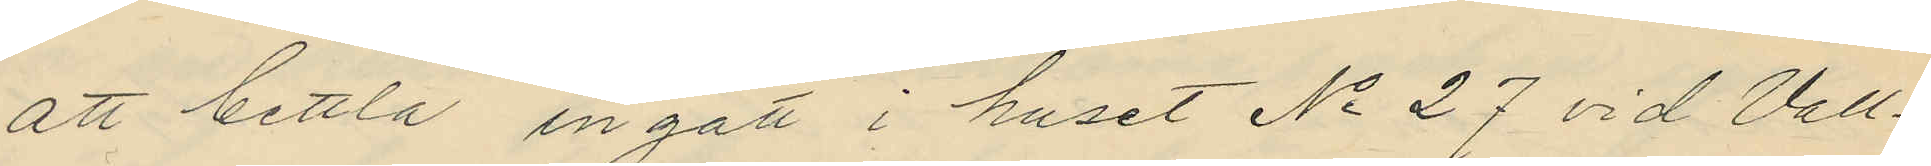att bettla ingått i huset No 27 vid Vall¬
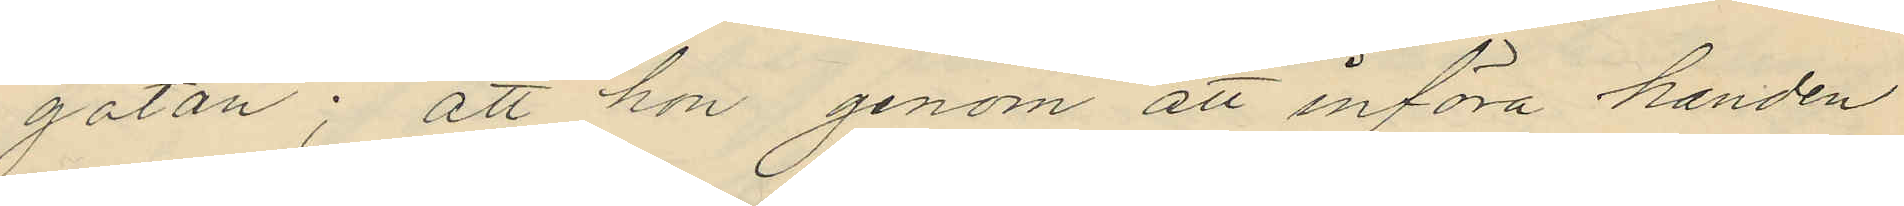gatan; att hon genom att införa handen
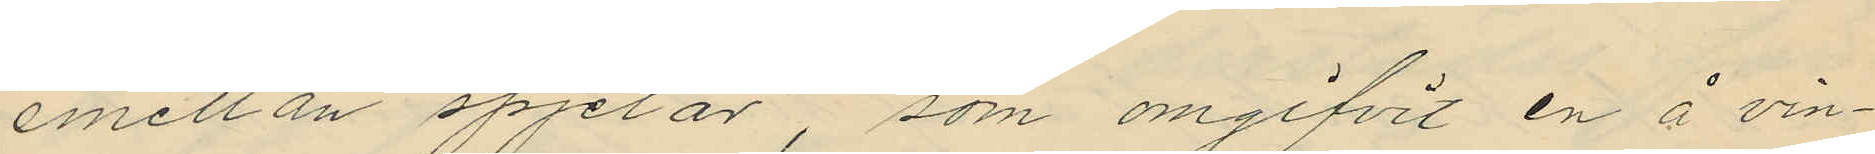emellan spjelor som omgifvit en å vin¬
